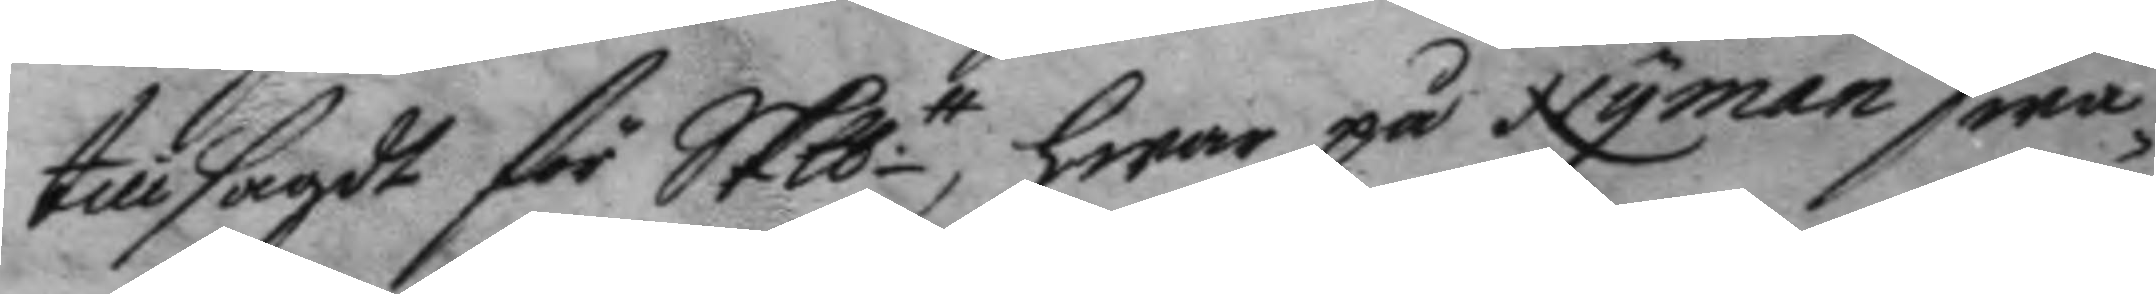tillsagdt för Skptt, hwar på Nyman swa¬
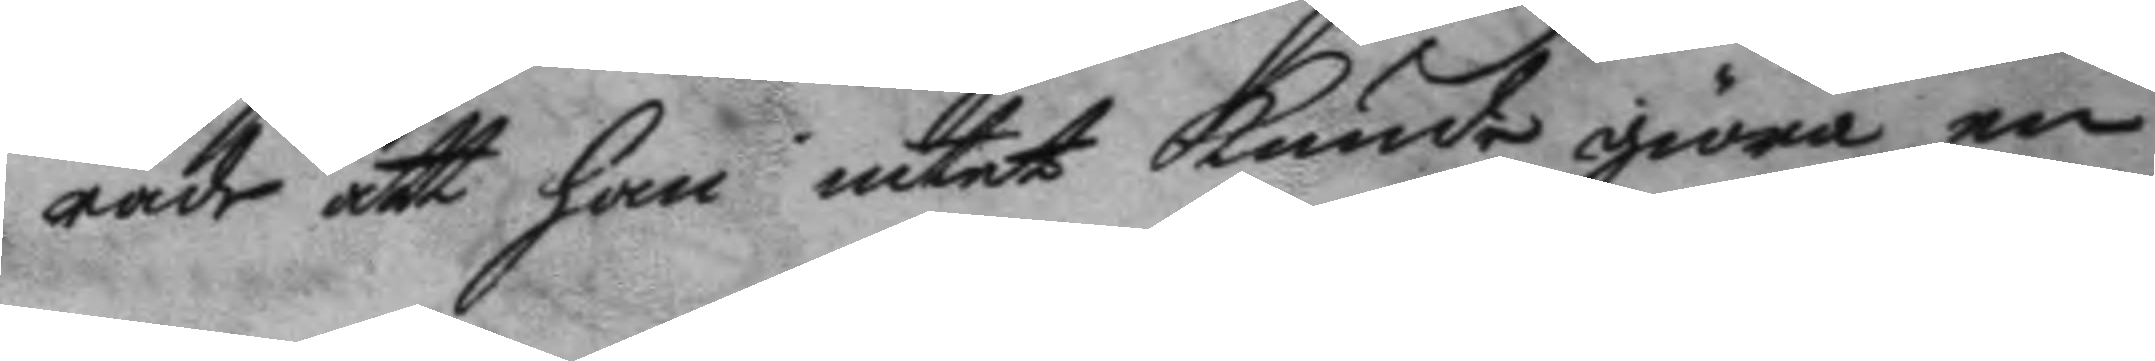rade att han intet kunde giöra en
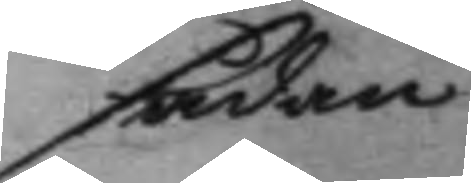sådan
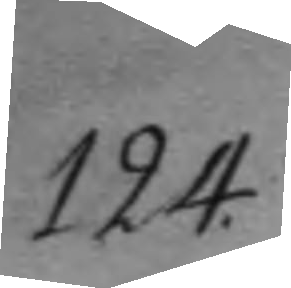124.
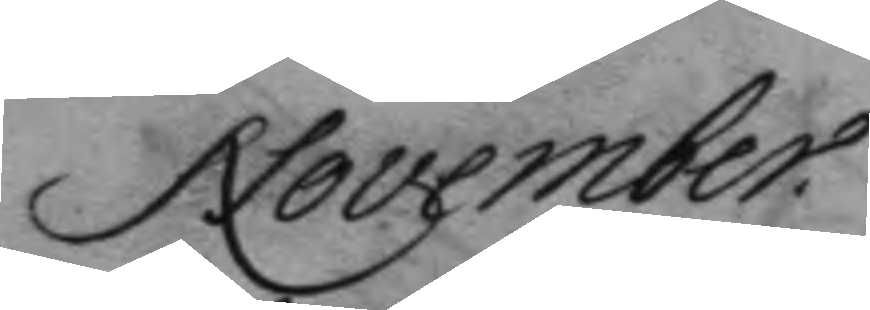November.
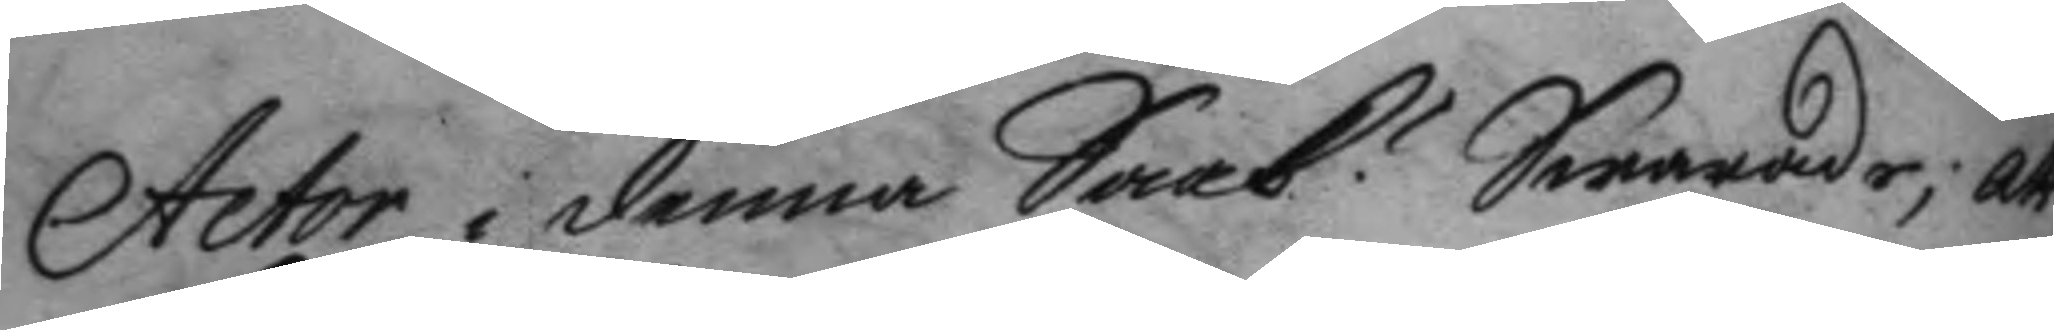Actor i denna Saak? Swarade; att
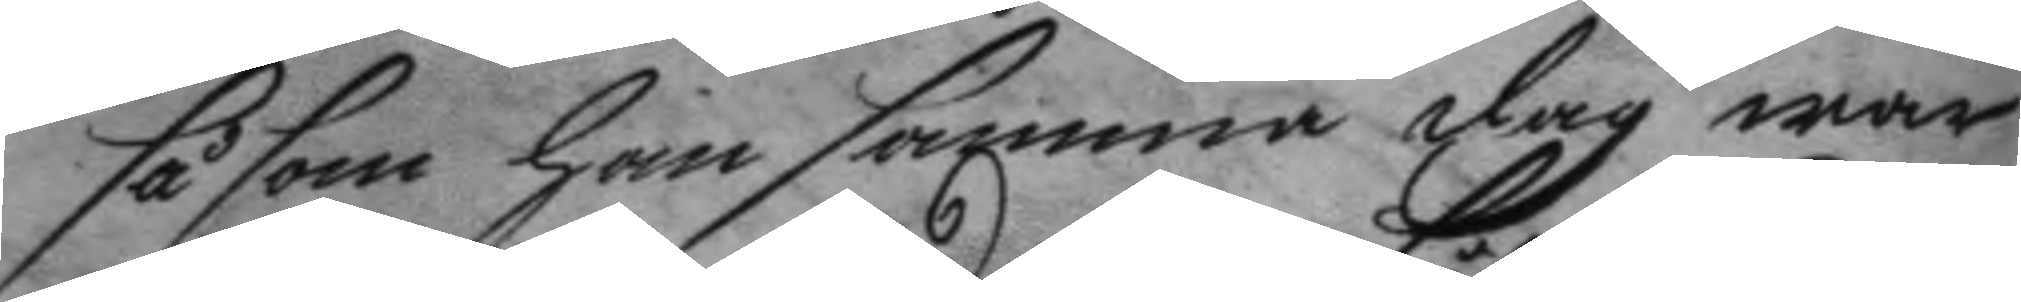såsom han samma dag war
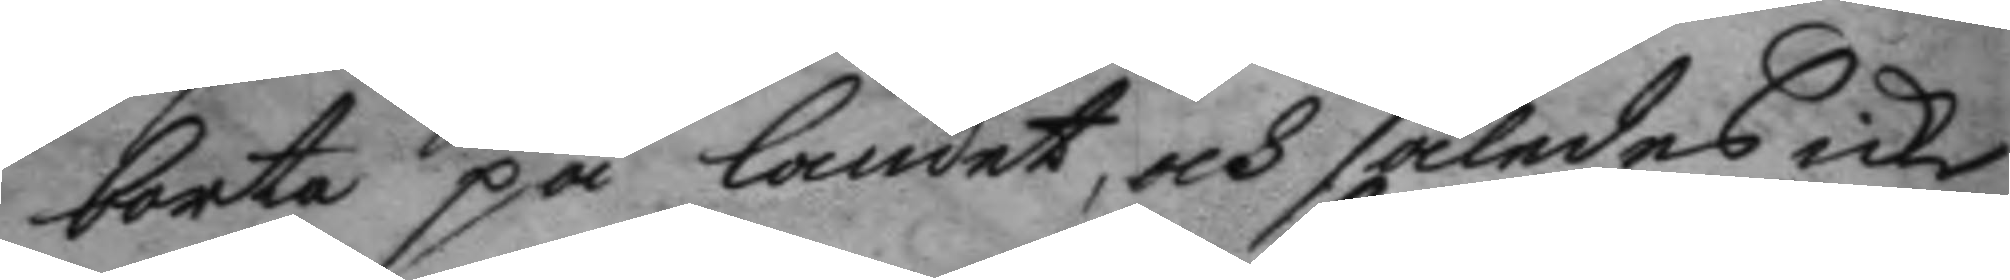borta på landet, och således icke
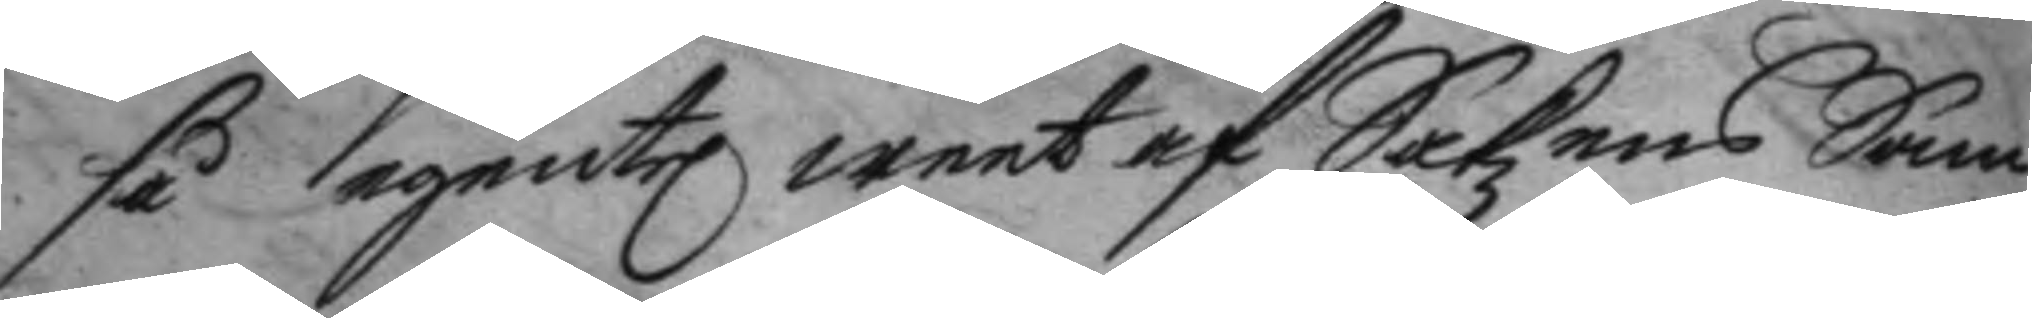så egentel weet af Sakzens Sam¬
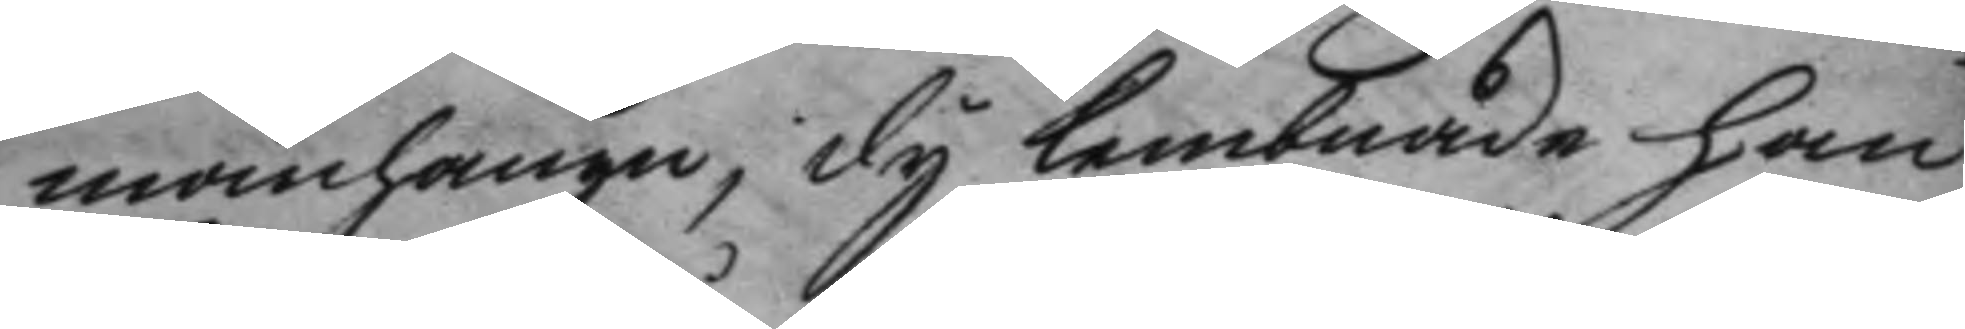manhangn, dy lembnade han
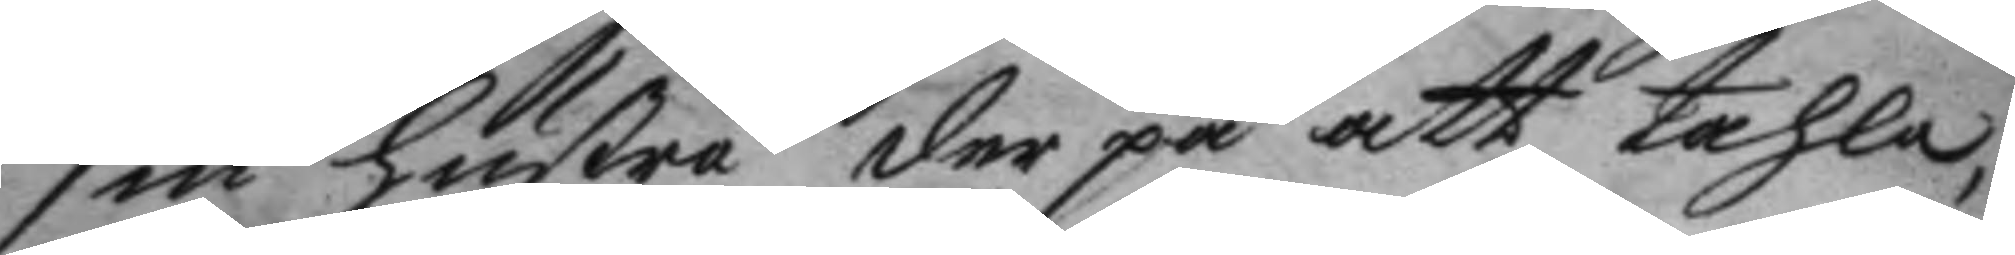sin hustru der på att tahla,
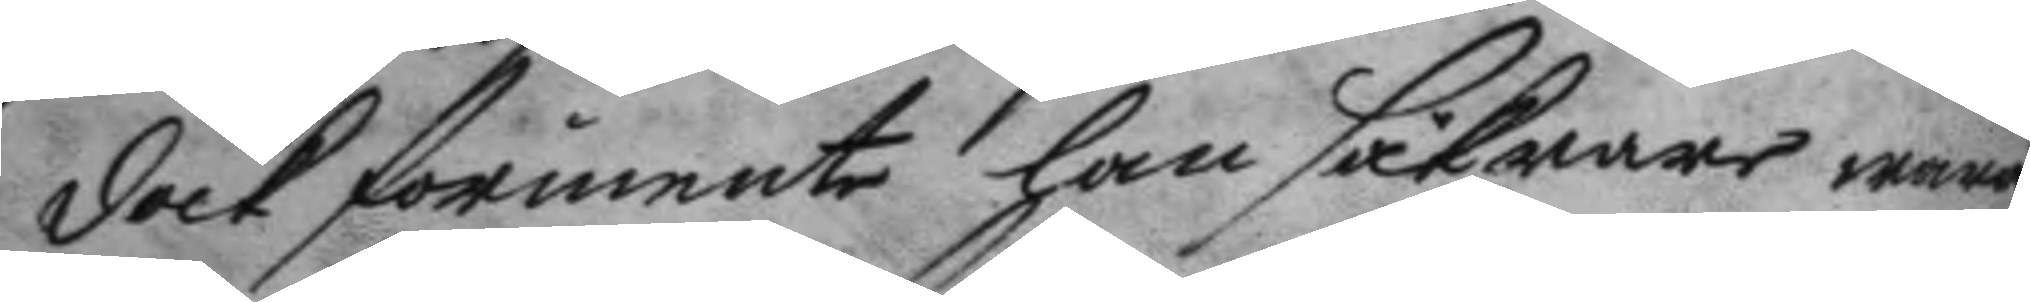dock förmente han säkrare wara
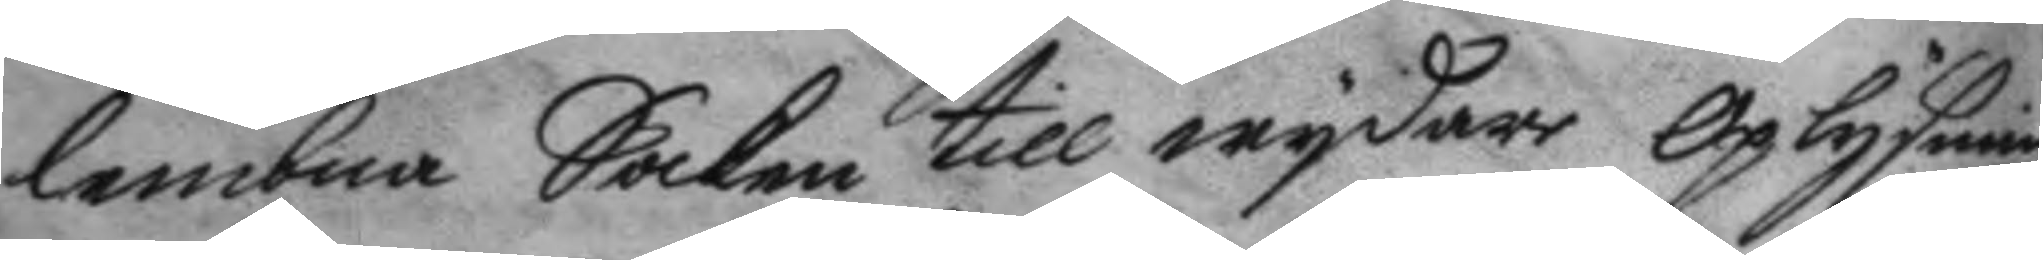lembna Saken till wydare Oplysning
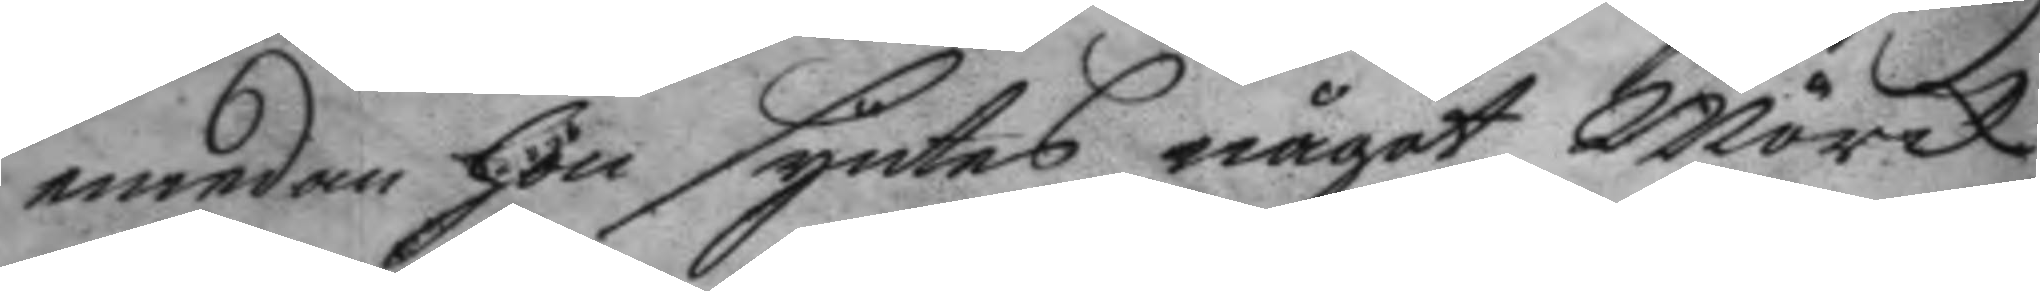emedan hon syntes något Mörck,
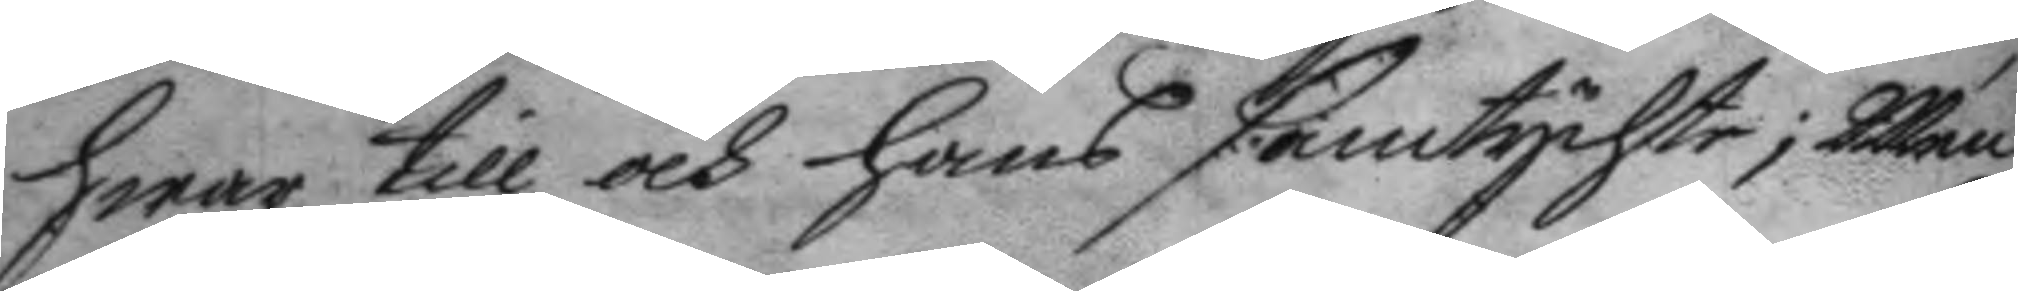hwar till och hans samtychte; Men
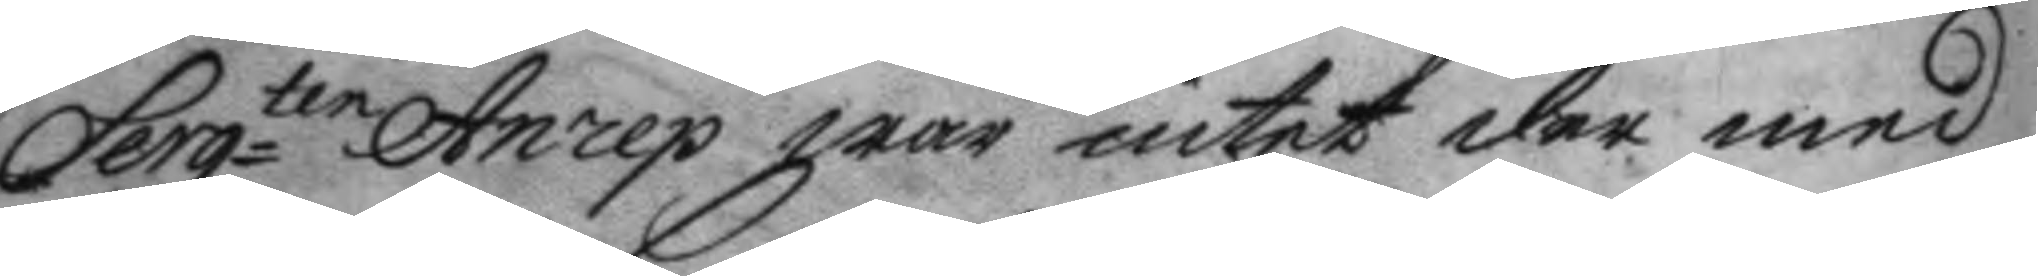Sergten Anrep war intet der med
